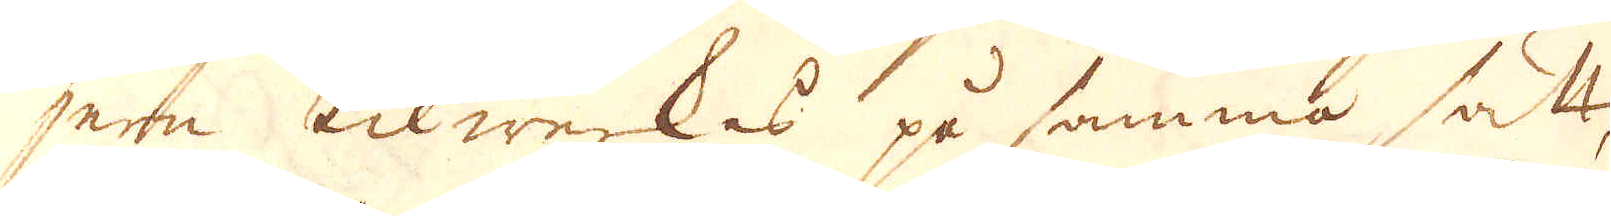jern tilwerkas på samma sätt
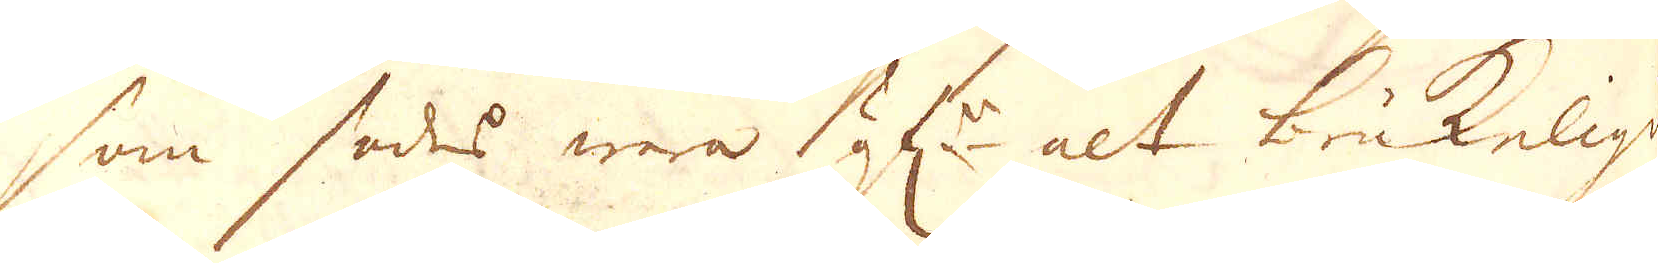som sades wara öf:r alt brukeligt
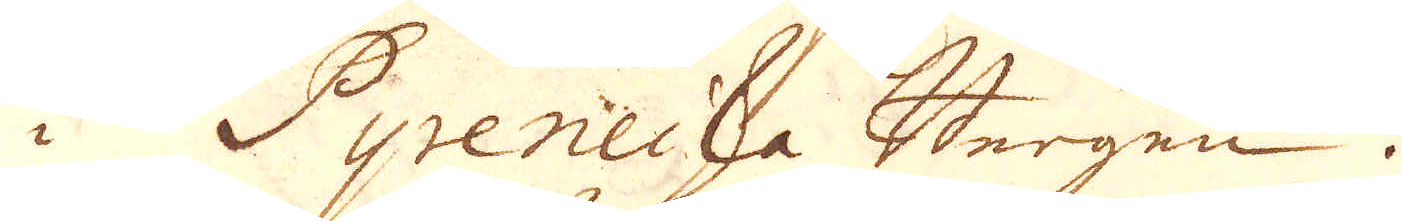i Pyreneiska Bergen.
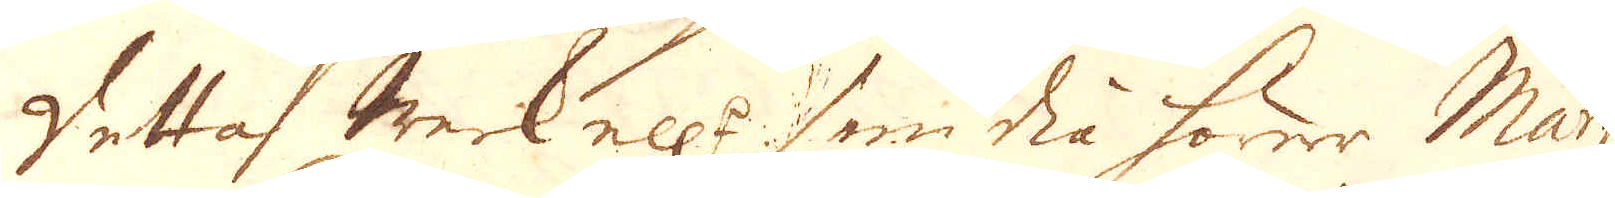Detta Werk ell:r smidia hörer Marquis
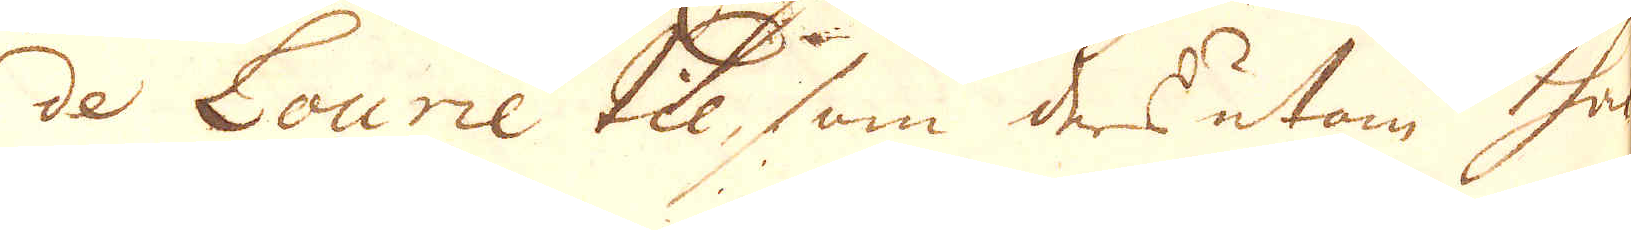de Lourie till, som des utan hade
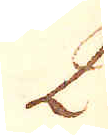2.
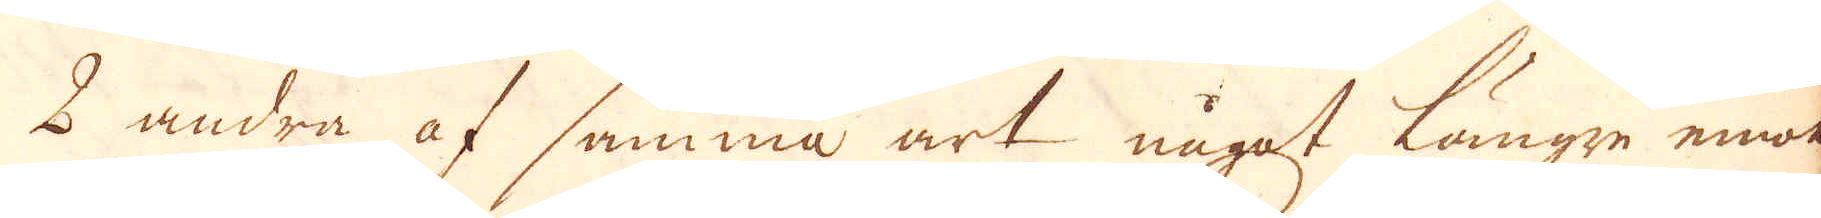2 andra af samma art något längre emot
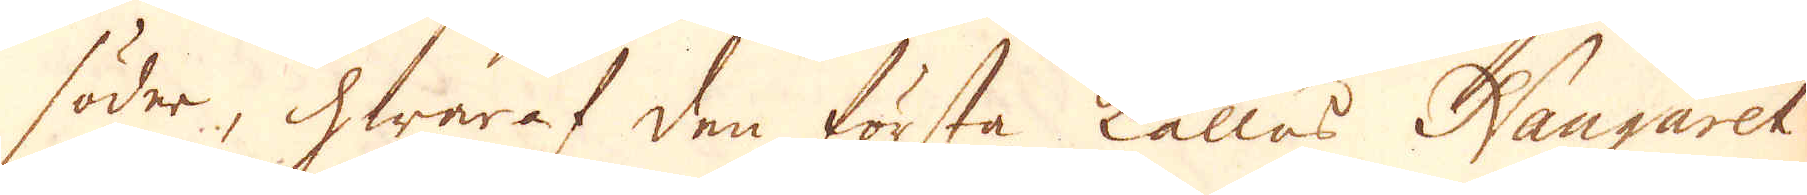söder, hwaraf den första kallas Naugaret
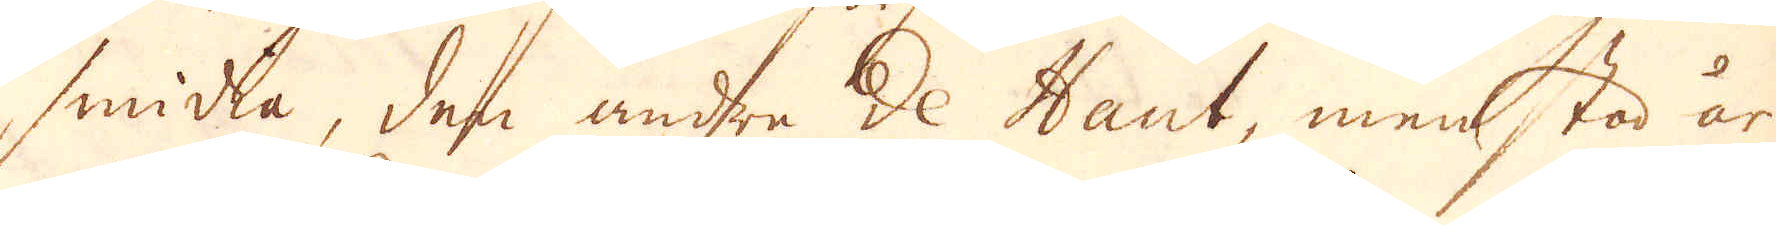smidia, den andre de Hant, men står år
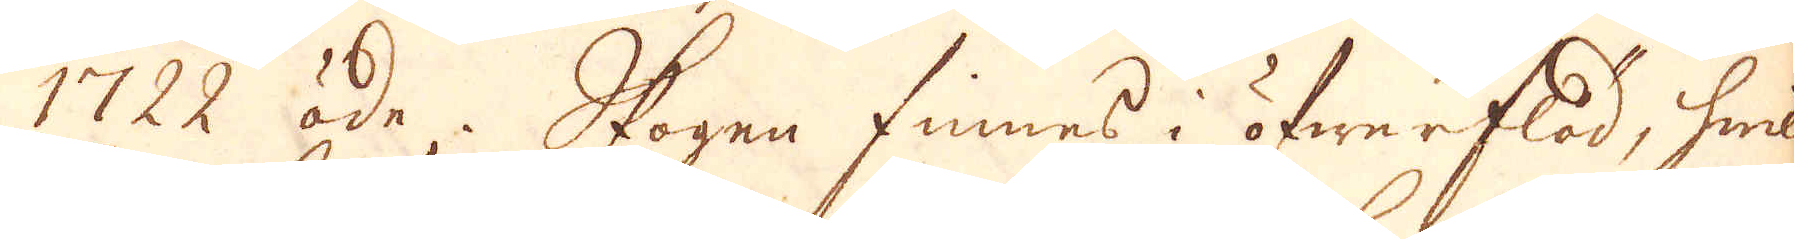1722 öde. Skogen finnes i öfwerflöd, hwil-
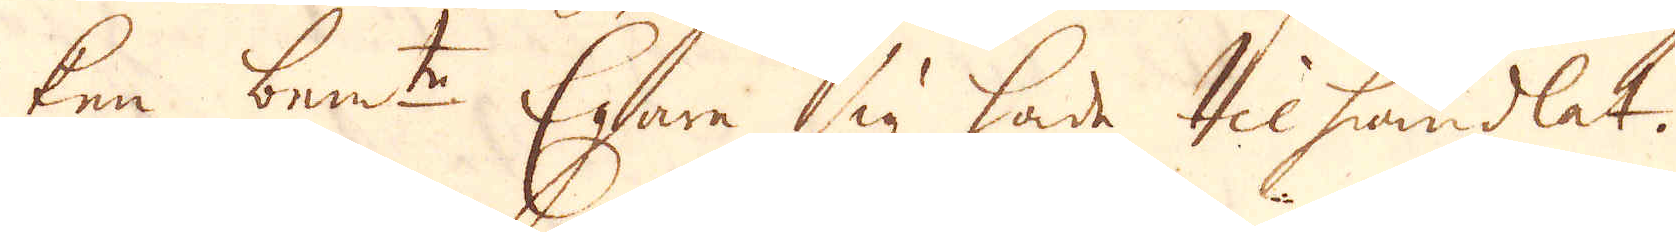ken bem:te Egare sig hade tilhandlat.
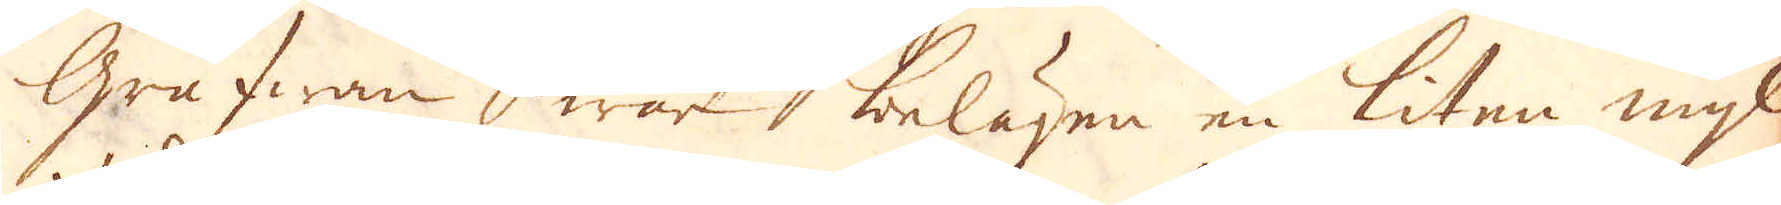Grufwan hwar belägen en liten mijl
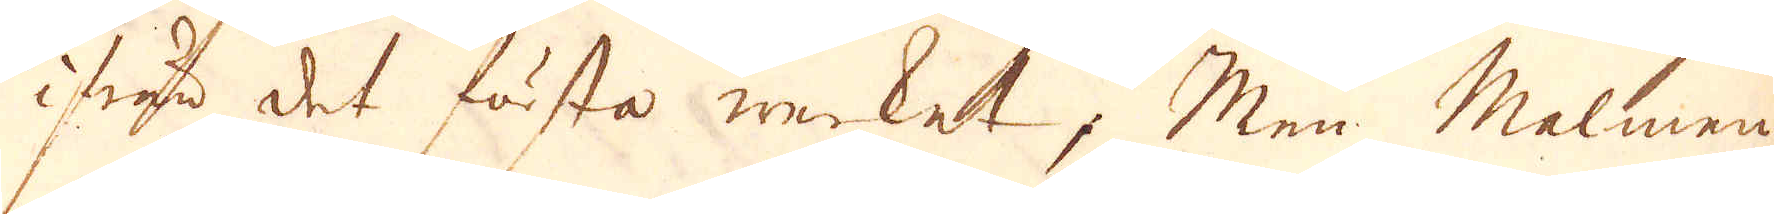ifrån det första werket; Men Malmen
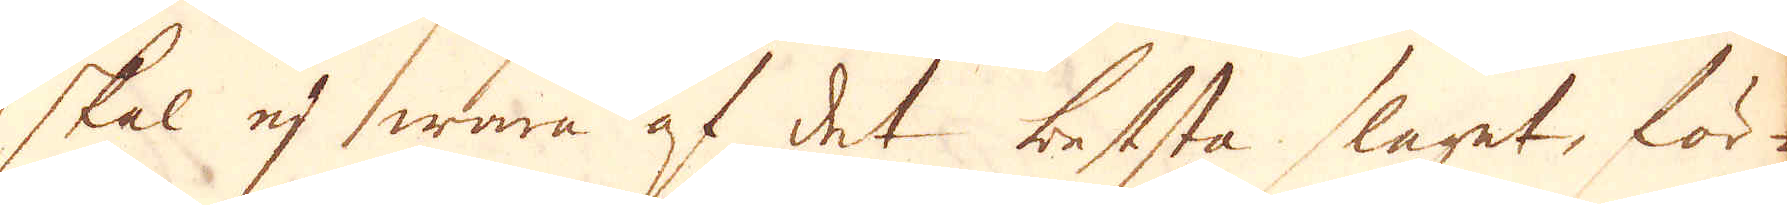skal ej wara af det beststa slaget, för-
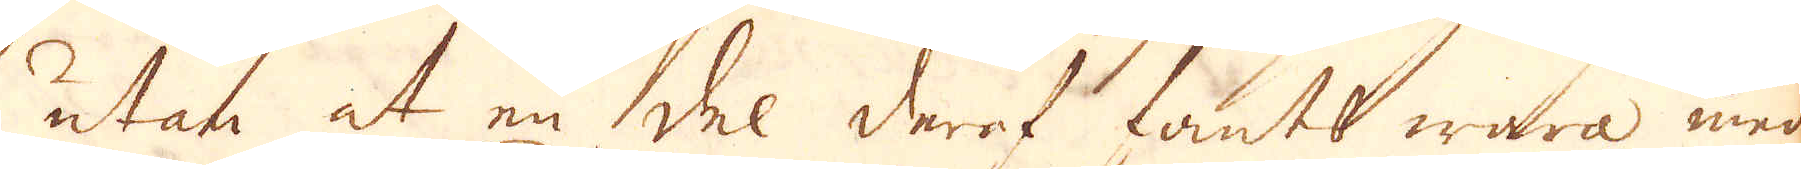utan at en del deraf fants wara med
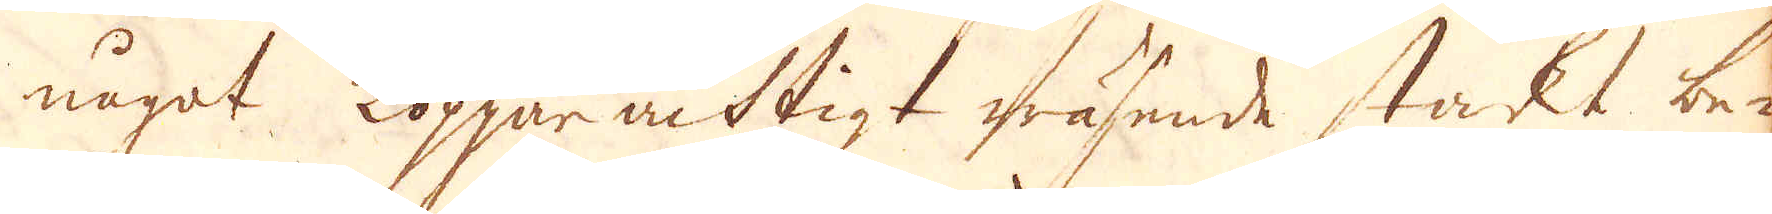något Kopparachtigt wäsende stakt be-
